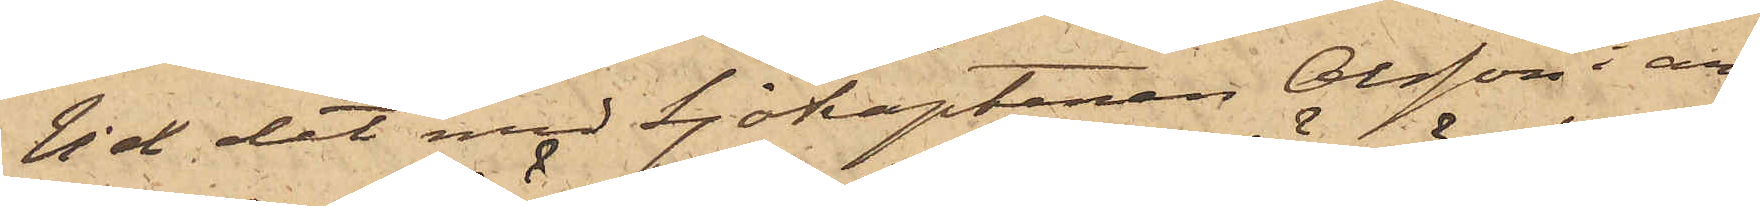Vid det med Sjökaptenen Olsson i an¬
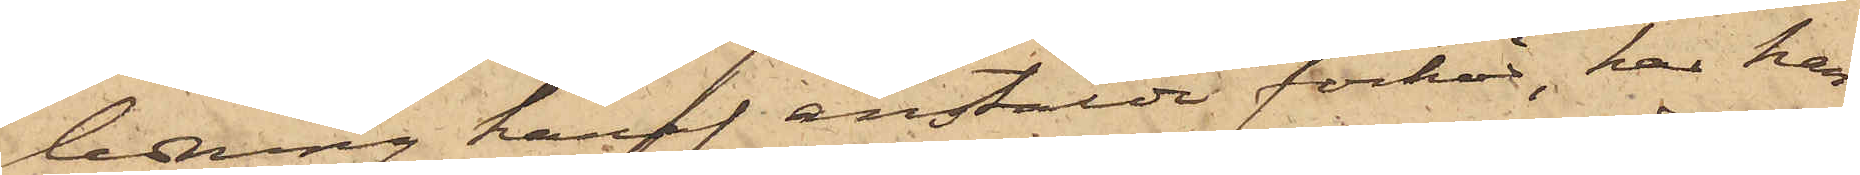ledning häraf anstälde förhör, har han
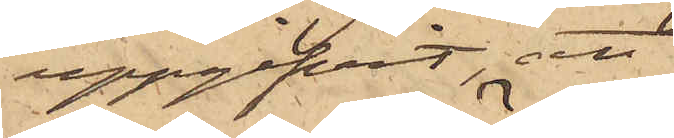uppgifvit, att
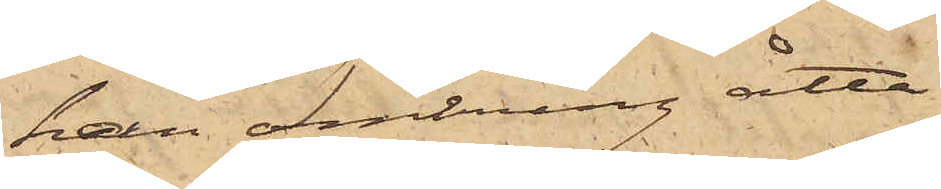han omkring åtta
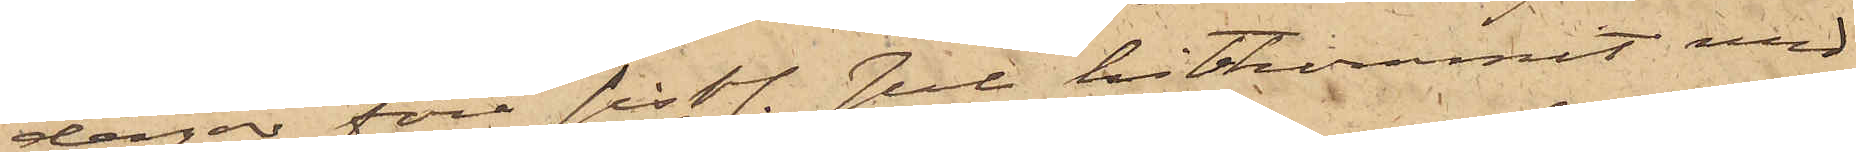dagar före sistl. Jul hitkommit med
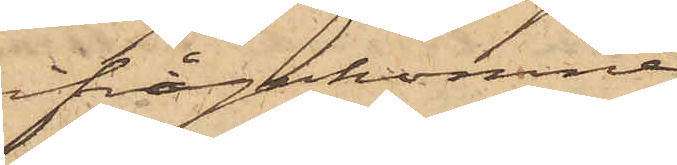ifrågakomne
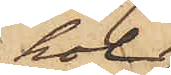kol¬
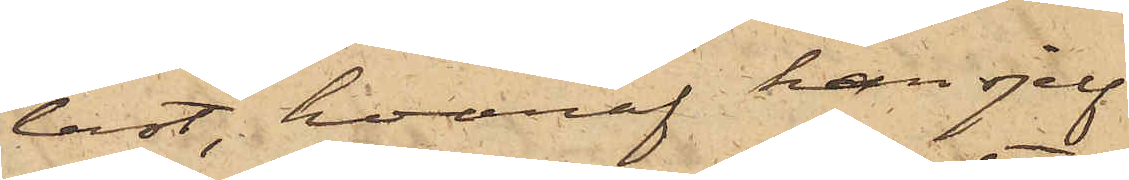last, hvaraf han sjelf
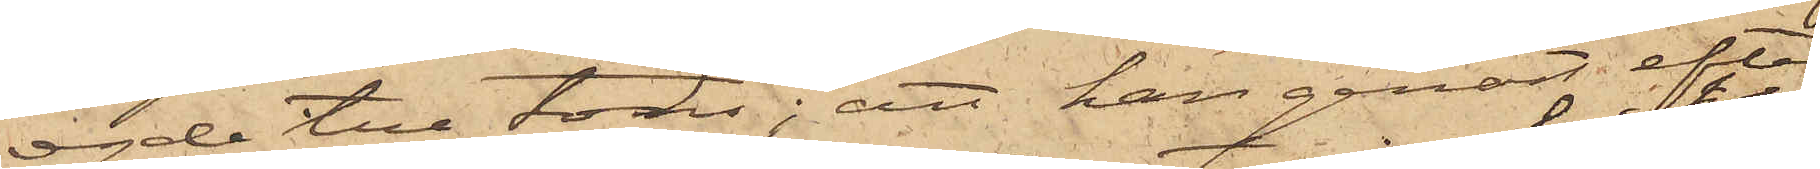egde tre tons; att han genast efter
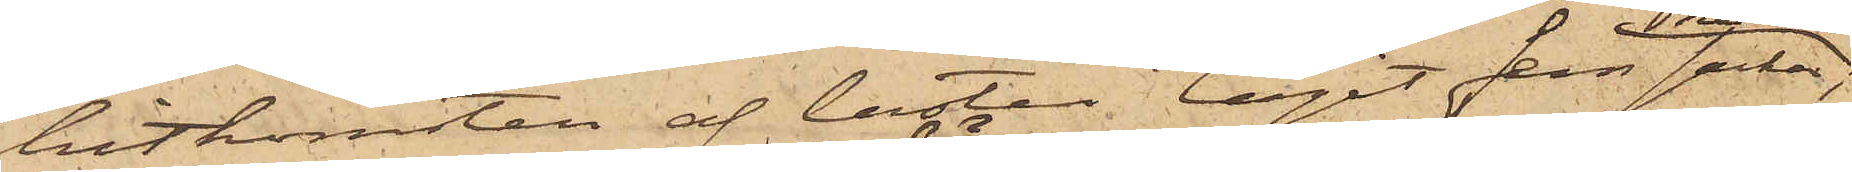hitkomsten af lasten tagit fem säckar
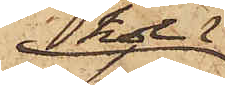kol,
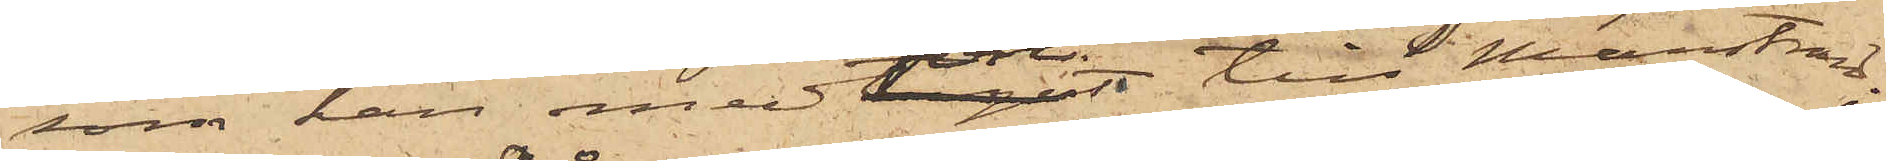som han medfört till Marstrand:
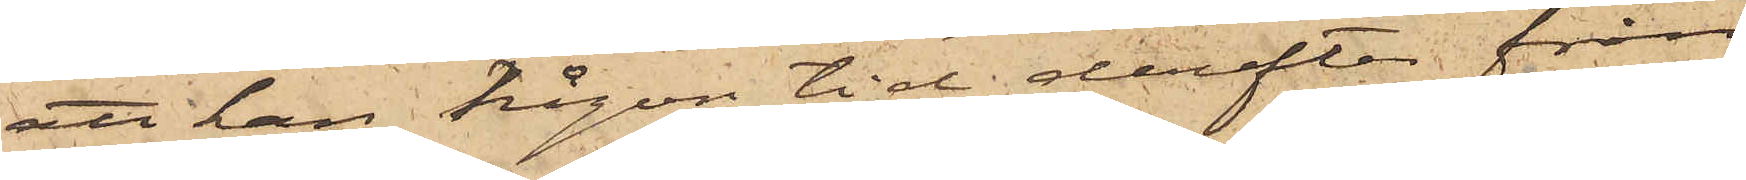att han någon tid derefter från
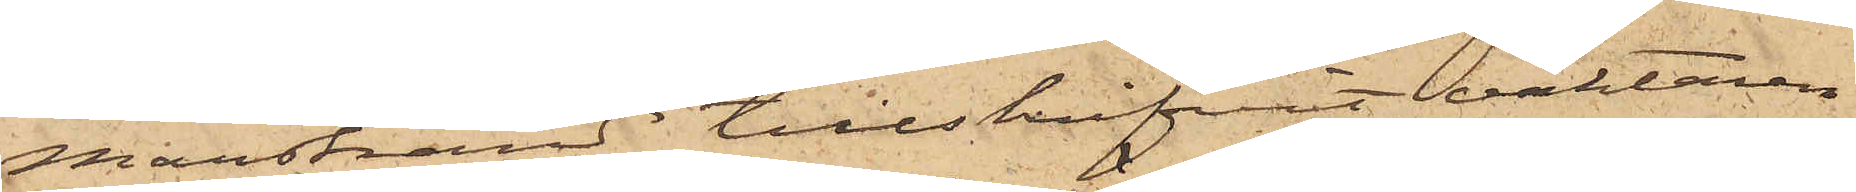Marstrand tillskrifvit vaktaren
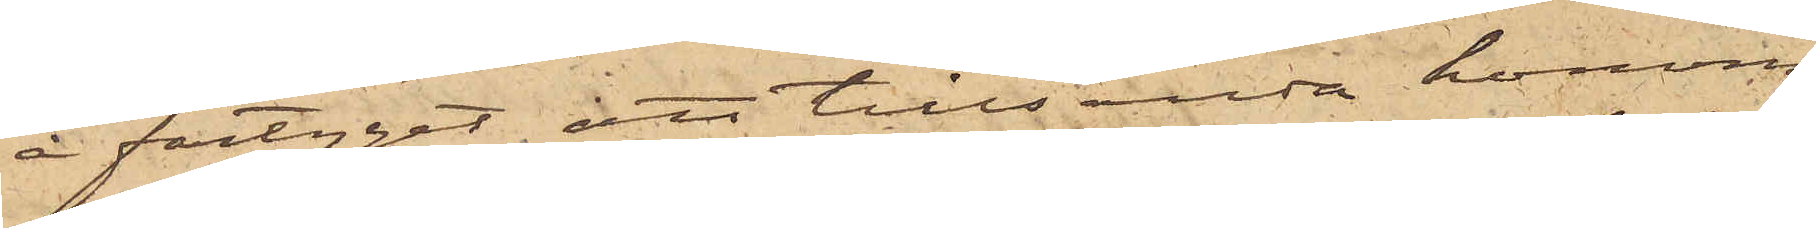å fartyget, att tillsända honom
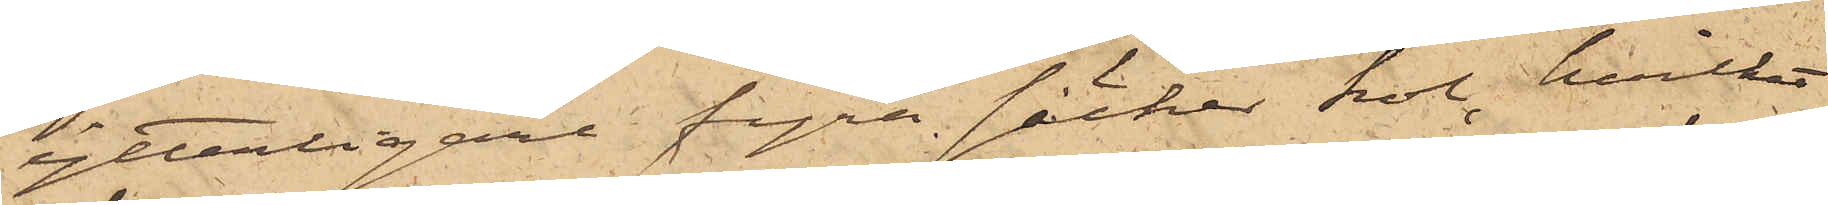ytterligare fyra säckar kol, hvilket
